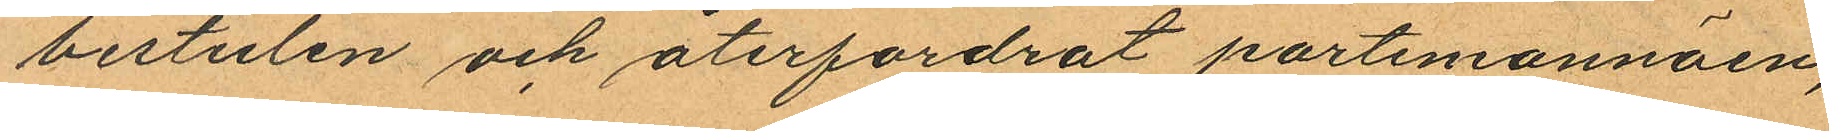bestulen och återfordrat portemonnäen,
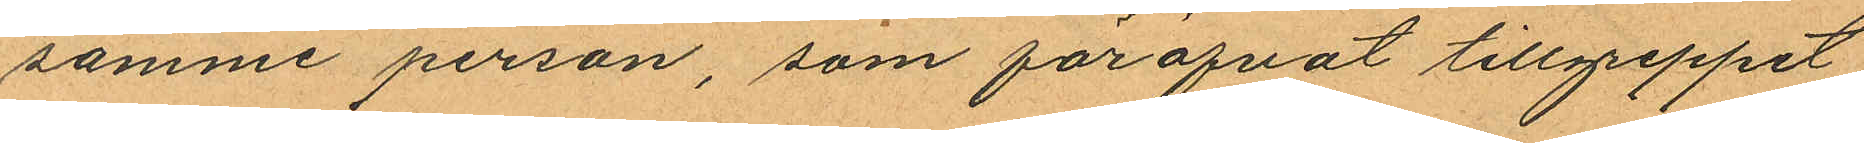samme person, som föröfvat tillgreppet
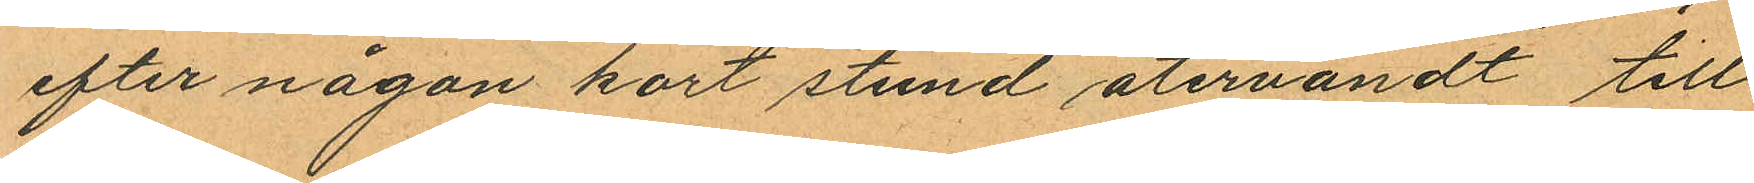efter någon kort stund återvändt till
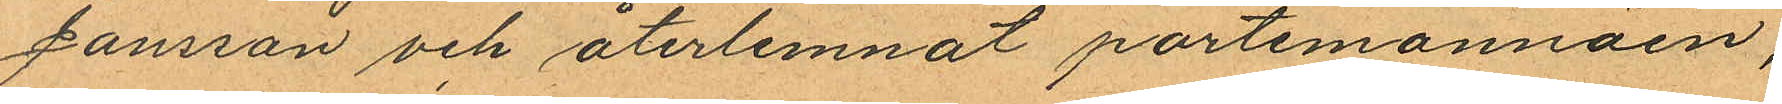Jansson och återlemnat portemonnäen,
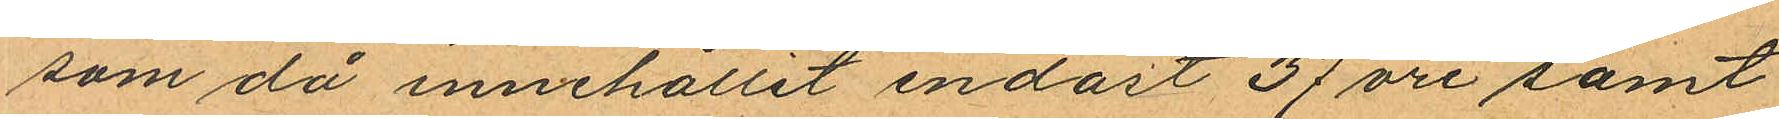som då innehållit endast 37 öre samt
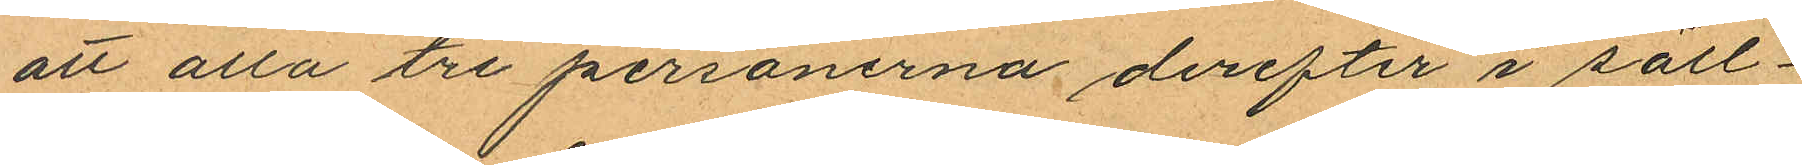att alla tre personerna derefter i säll¬
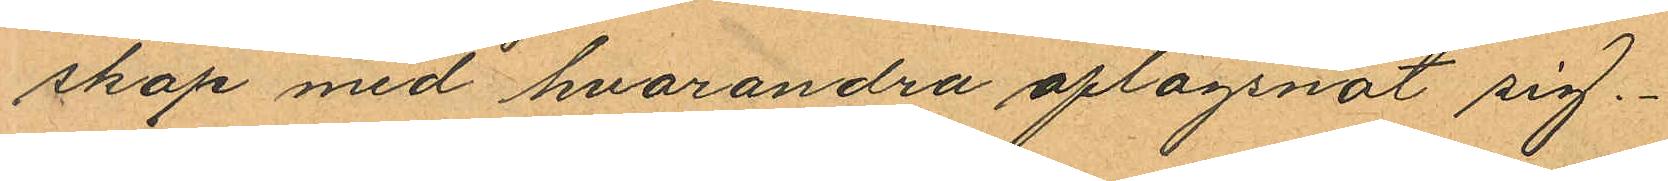skap med hvarandra aflägsnat sig.
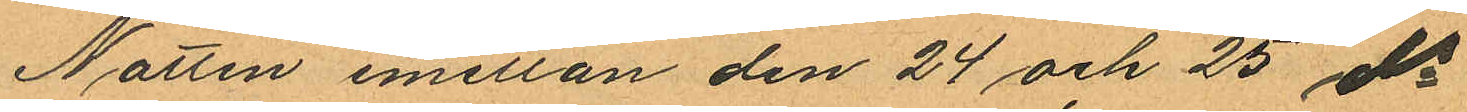Natten emellan den 24 och 25 ds
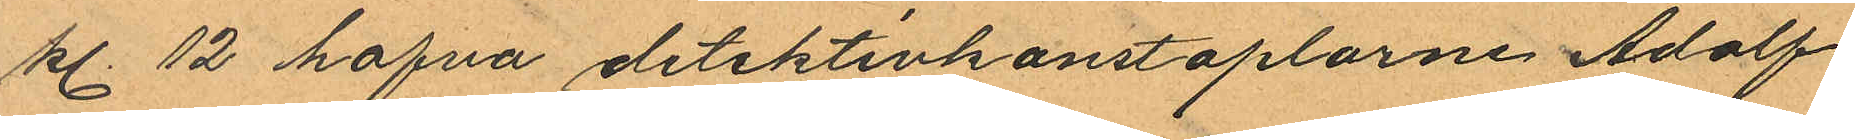kl. 12 hafva detektivkonstaplarne Adolf
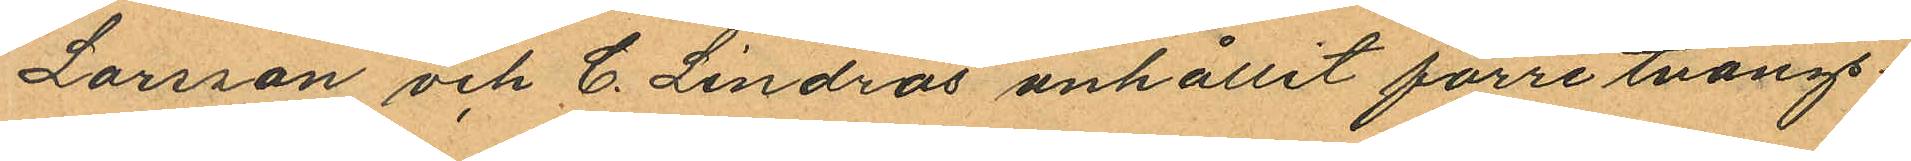Larsson och C. Lindros anhållit förre tvångs¬
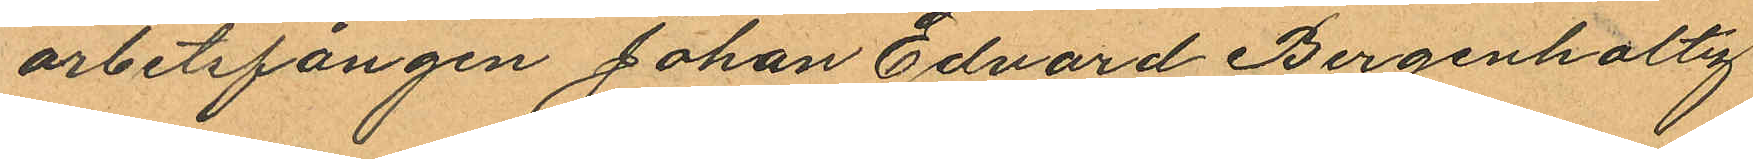arbetsfången Johan Edvard Bergenholtz
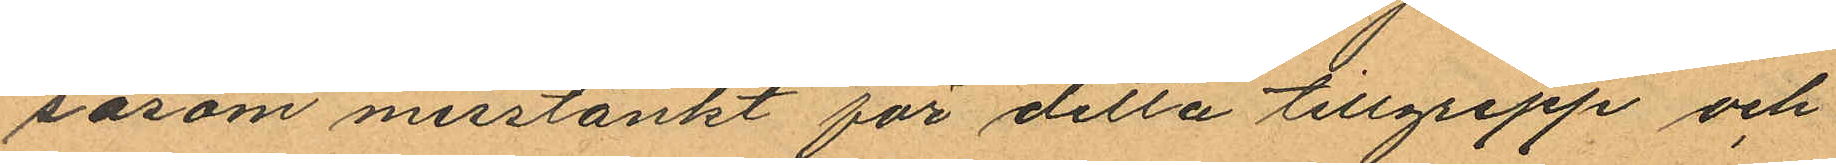såsom misstänkt för detta tillgrepp och
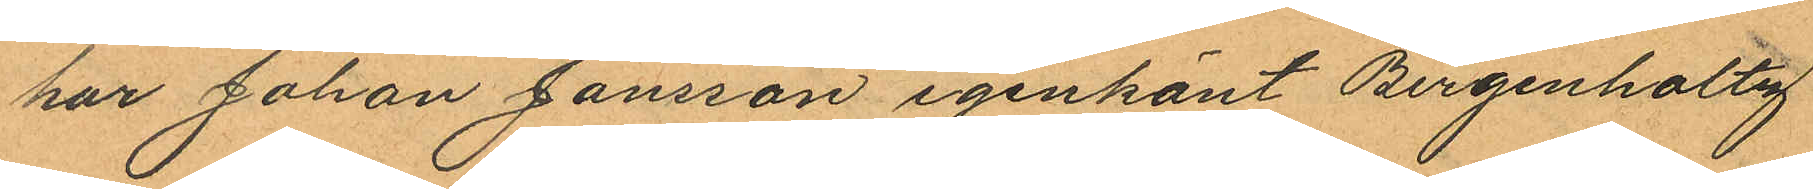har Johan Jansson igenkänt Bergenholtz
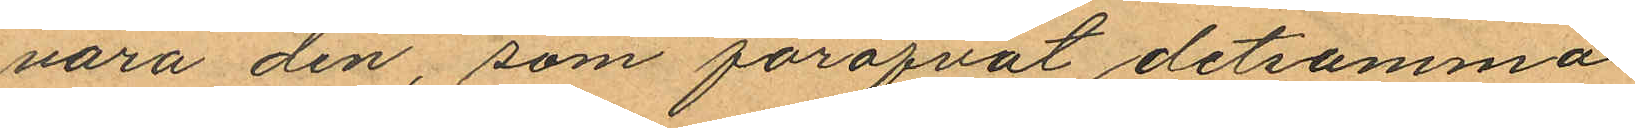vara den, som föröfvat detsamma.
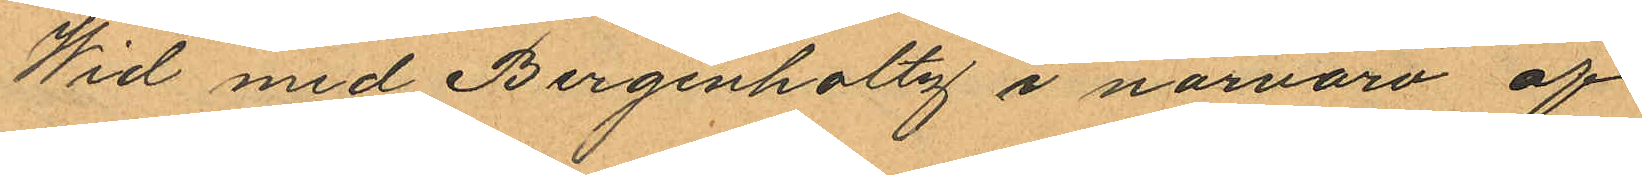Wid med Bergenholtz i närvaro af
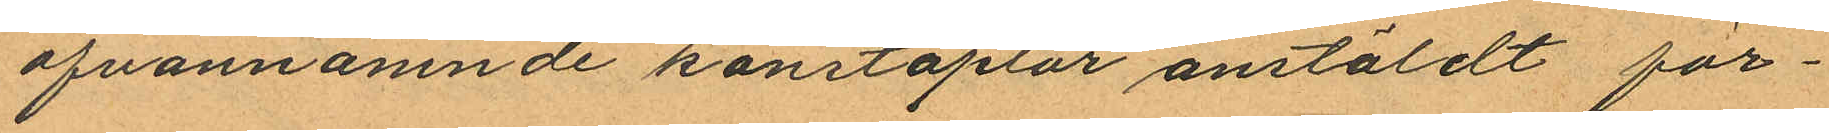ofvannämnde konstaplar anstäldt för¬
